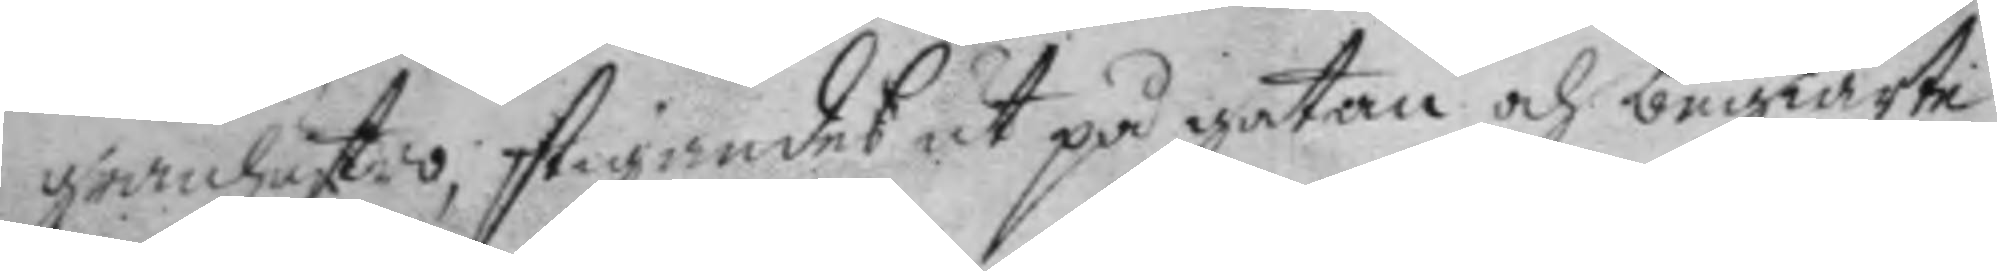granhustro, stigandes ut på gatan och begiärte
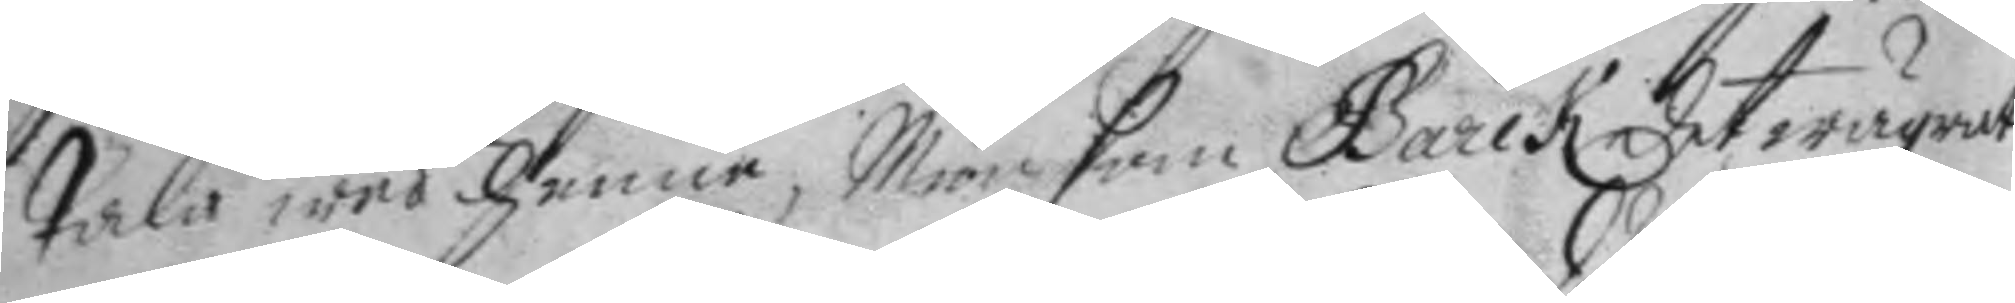tala wed henne, Men som barck det wägrat
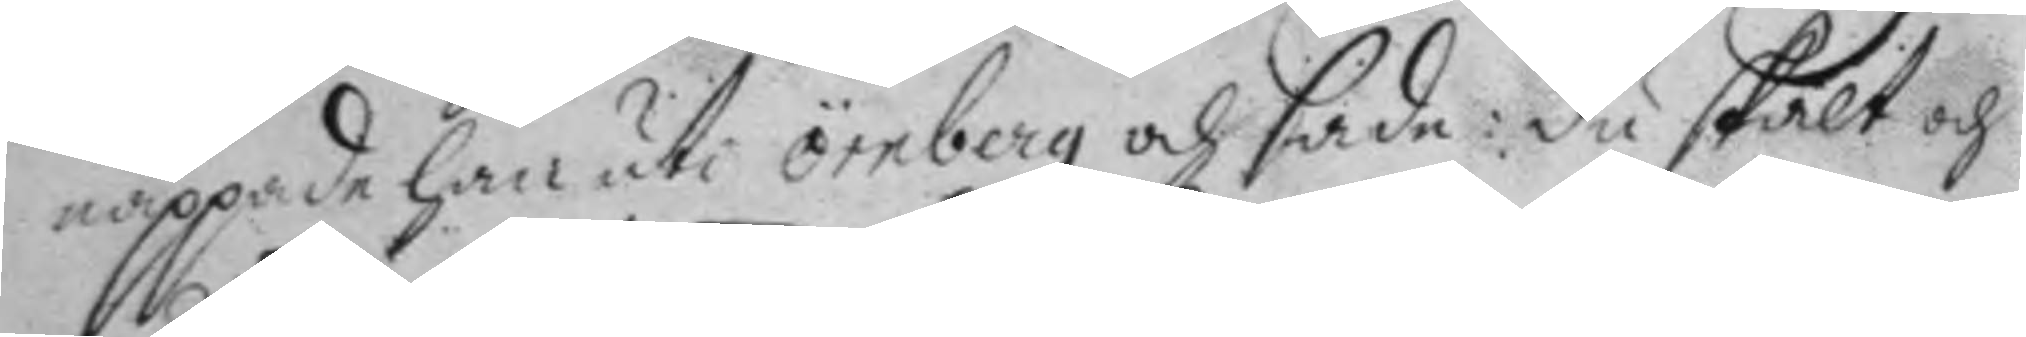nappade han uti örnberg och sade: du skalt och
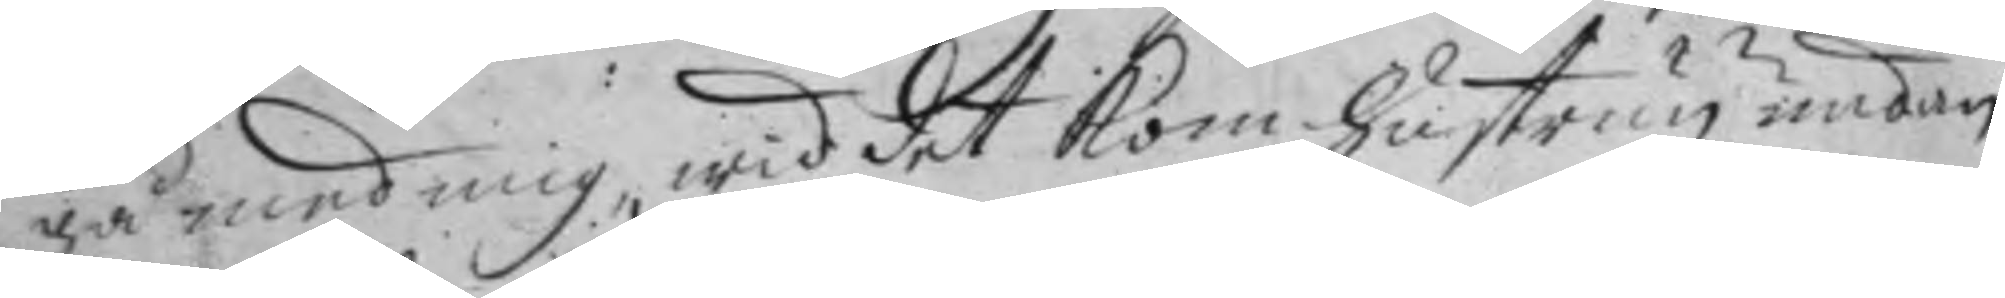gå med mig, wid det kom hustrun undan
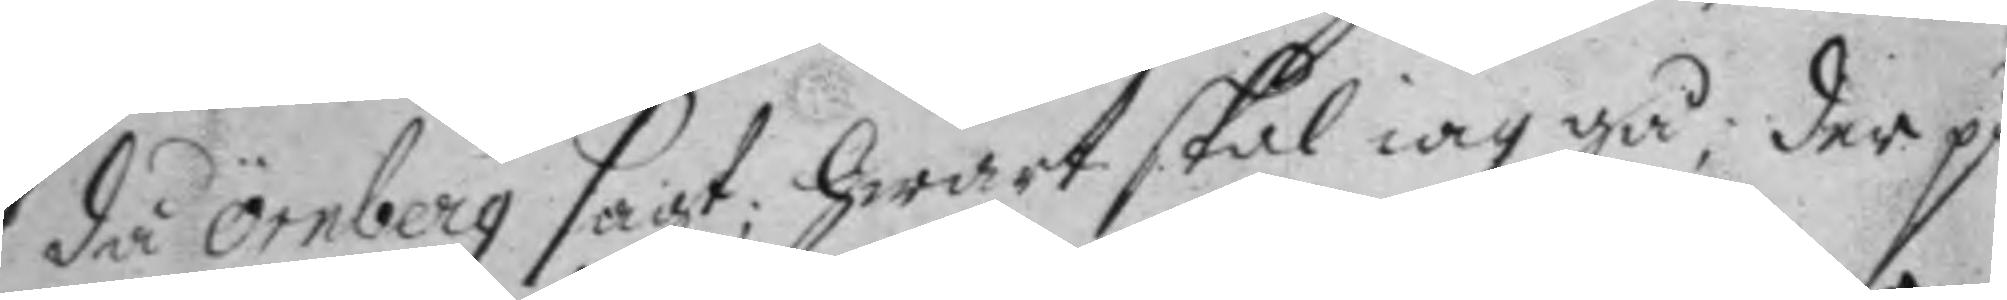då örnberg sagt; hwart skal iag gå, der på
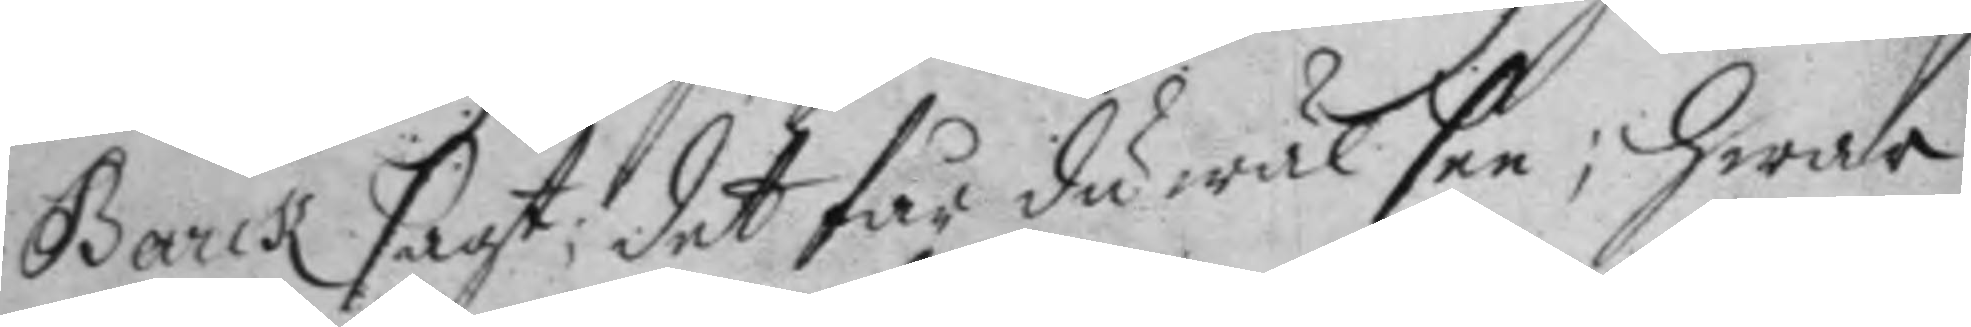Barck sagt; det får du wäl see; hwar
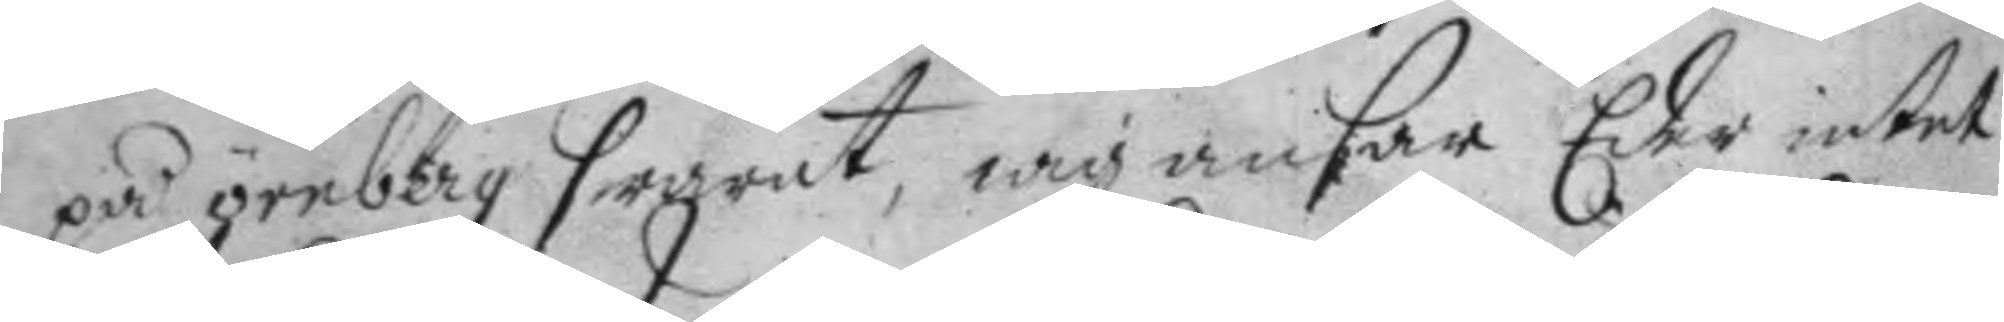på örnberg swarat, iag ansar Eder intet
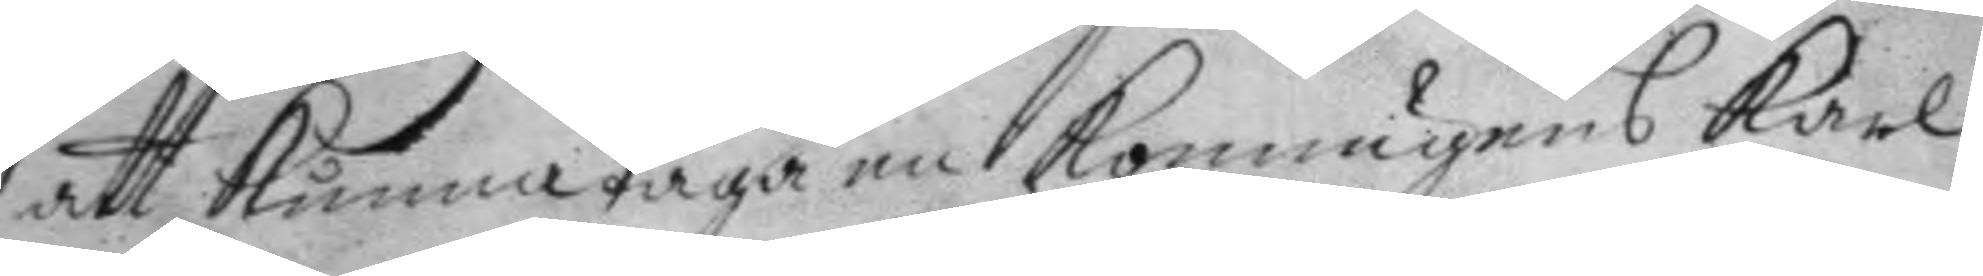att kunna taga en konungens karl
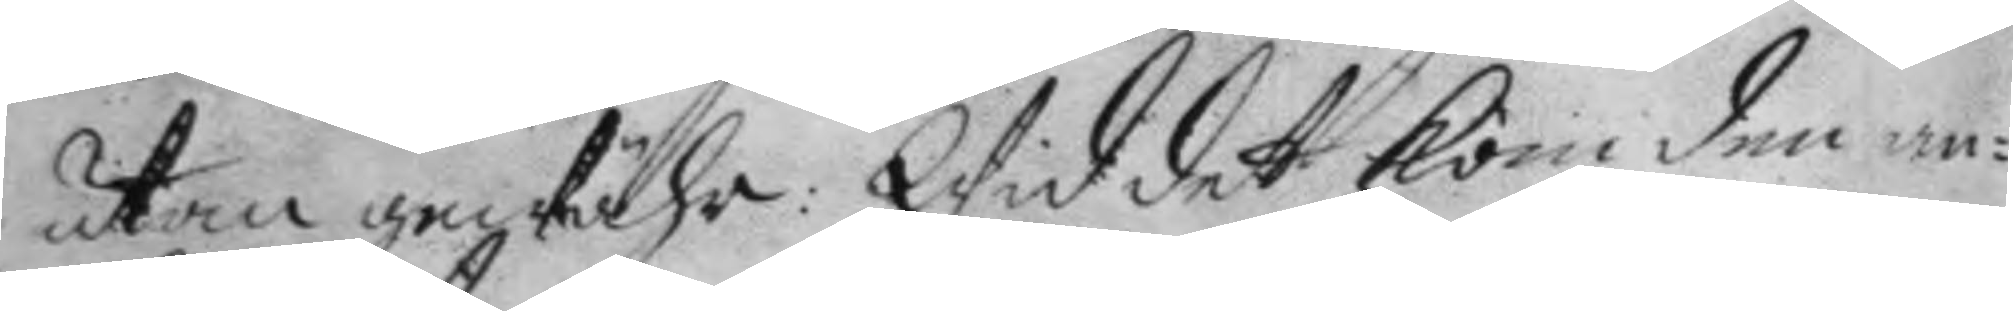utan gewähr: Wid det kom den an¬
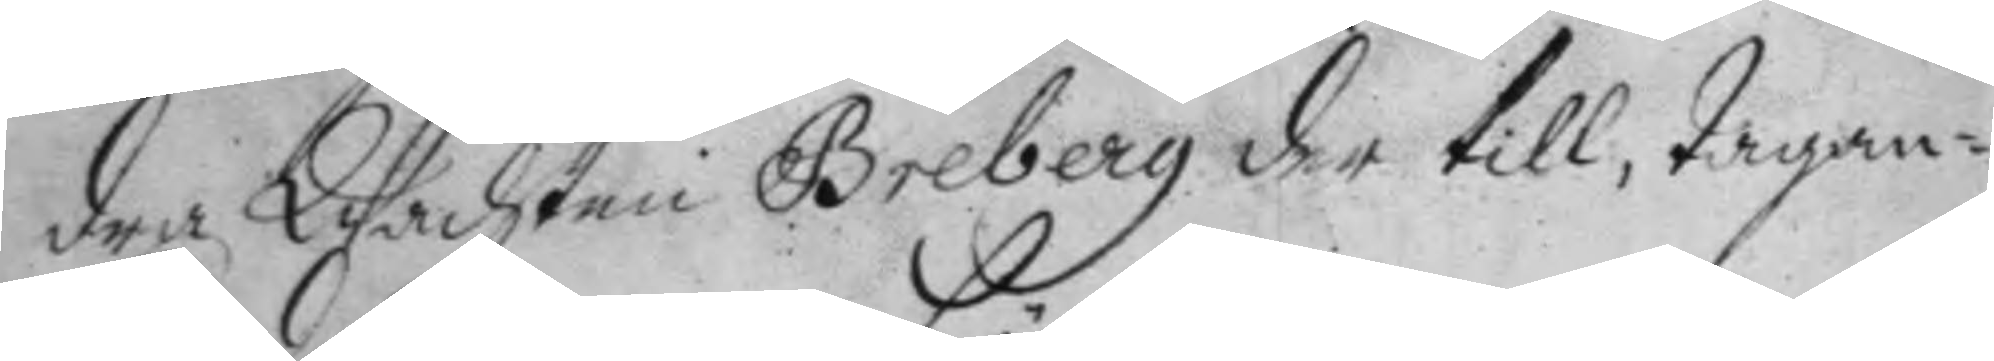dra Wachten Breberg der till, tagan¬
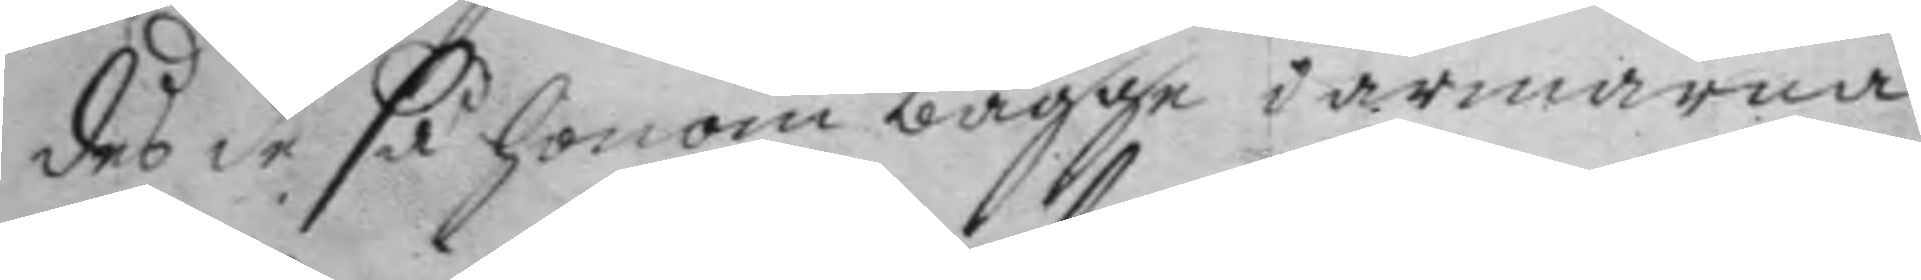des de så honom bägge i armarna
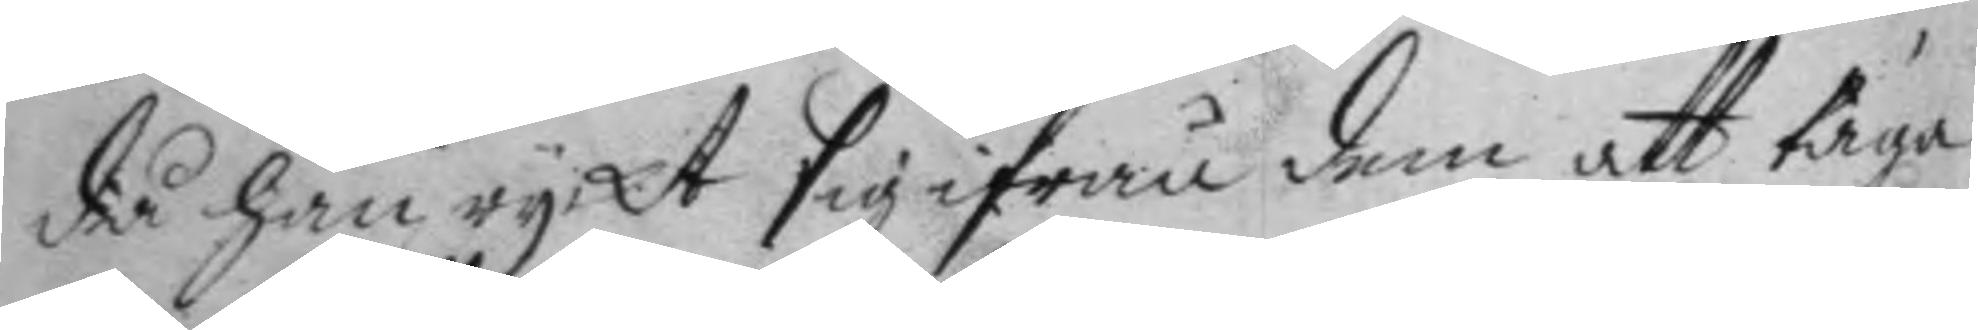då han ryckt sig ifrån dem att taga
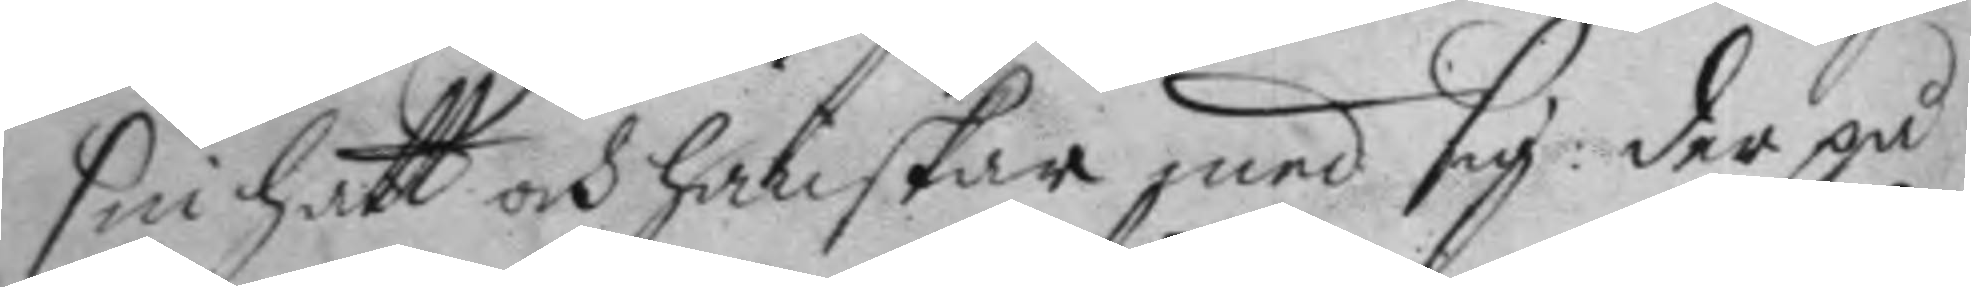sin hatt och hanskar med sig: der på
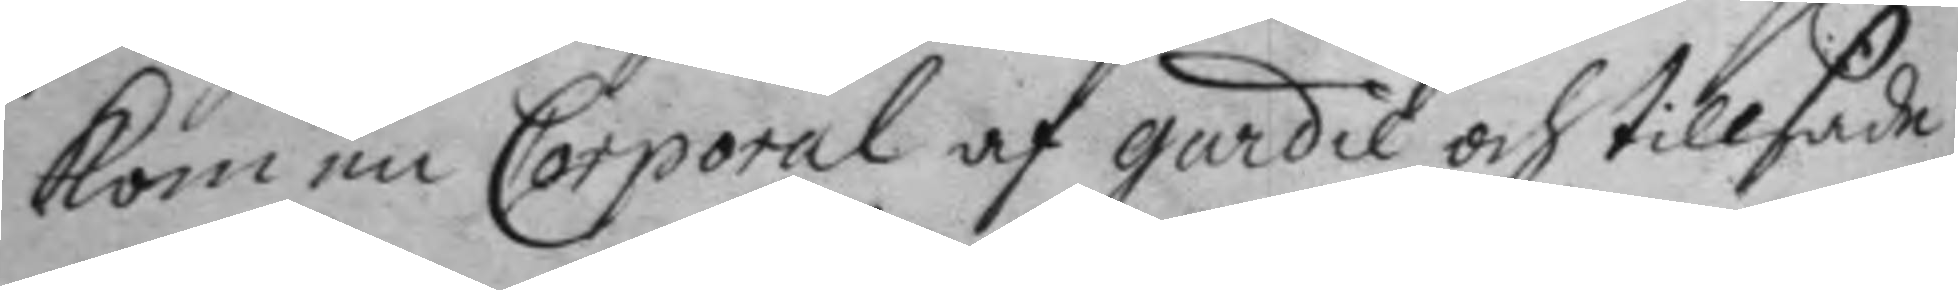kom en Corporal af gardie och tillsade
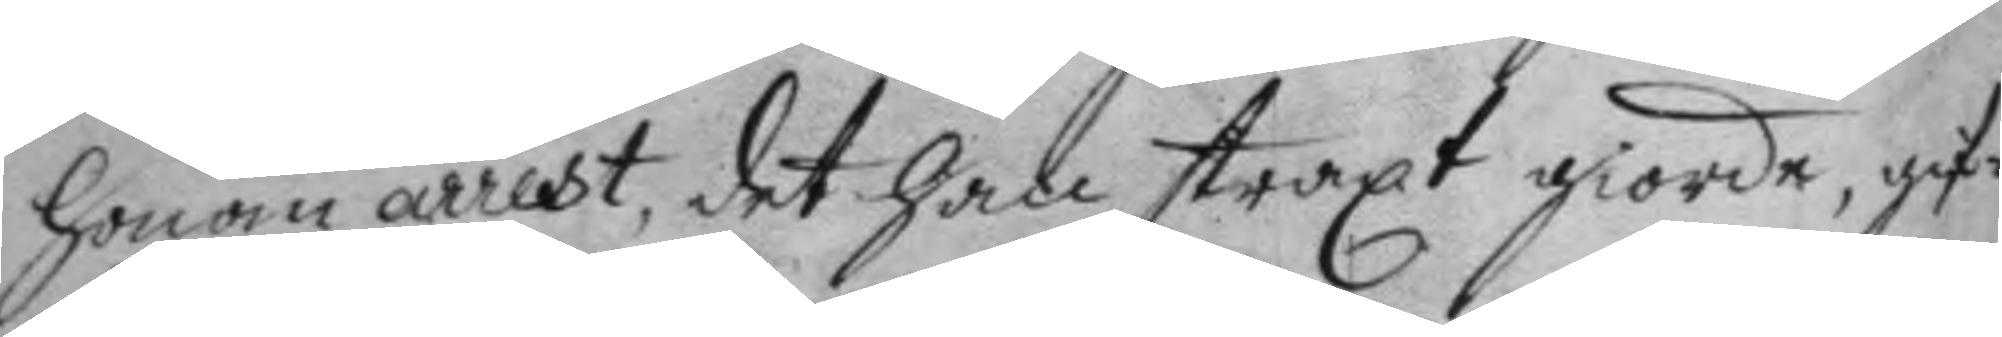honom arrest, det han straxt giorde, gif¬
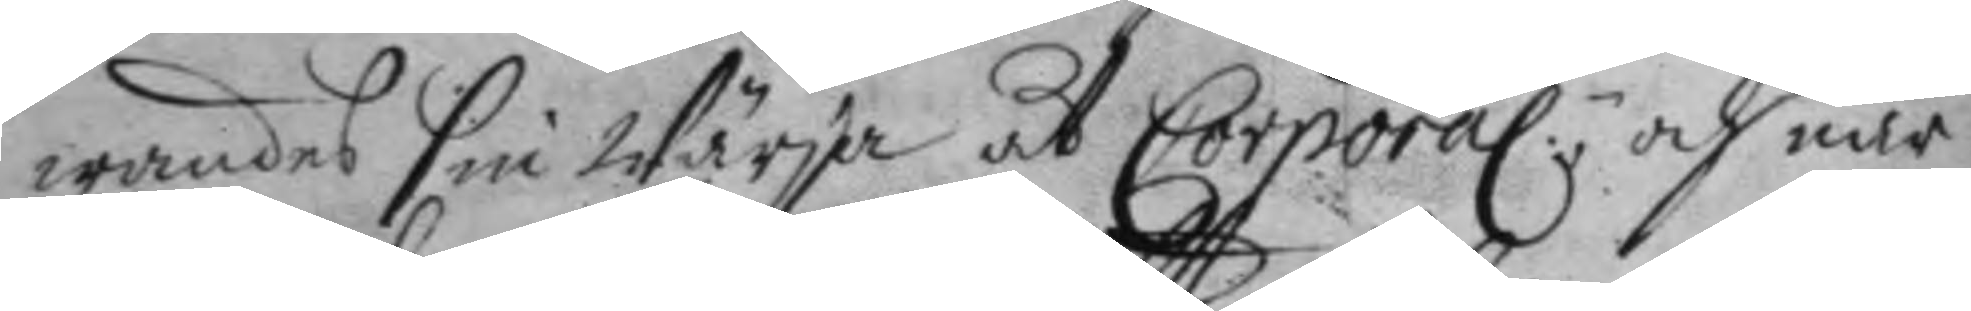wandes sin Wärja åt Corporalen; och när
